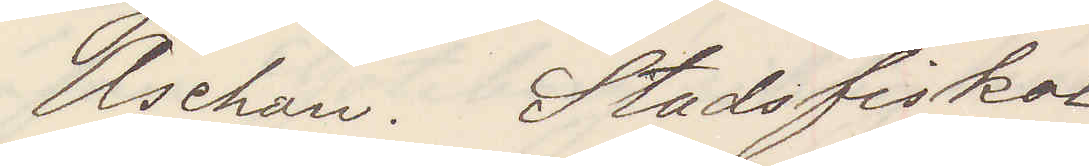Aschan. Stadsfiskal
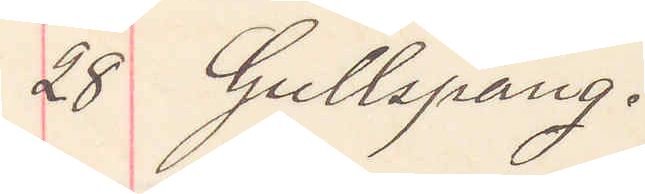28 Gullspång.
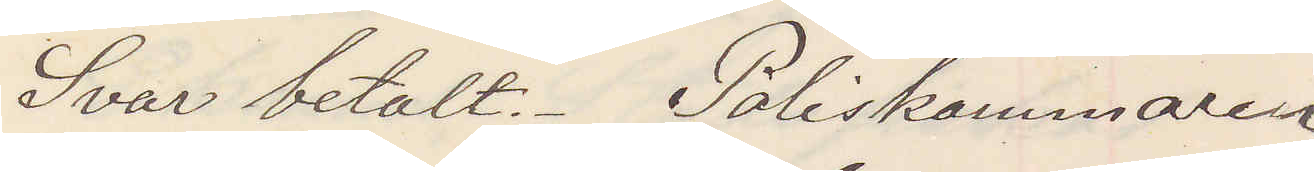Svar betalt Poliskammaren
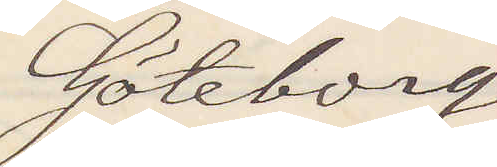Göteborg
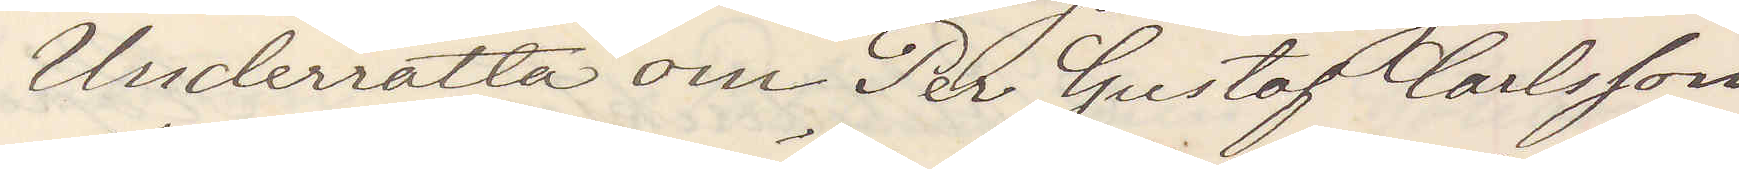Underrätta om Per Gustaf Carlsson
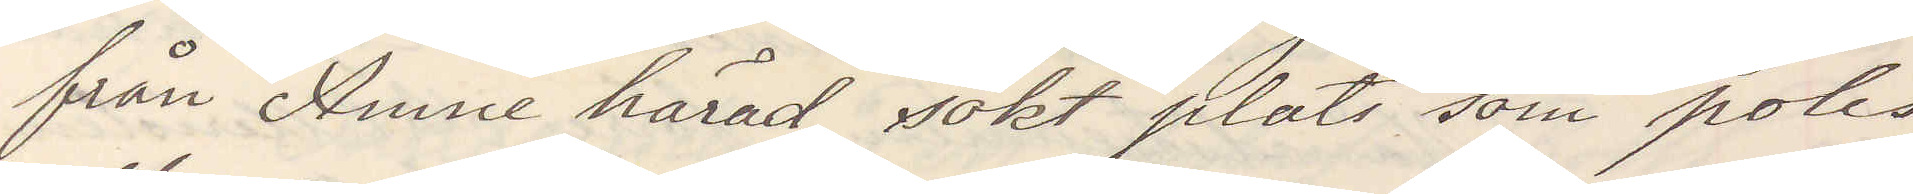från Anne härad sökt plats som polis
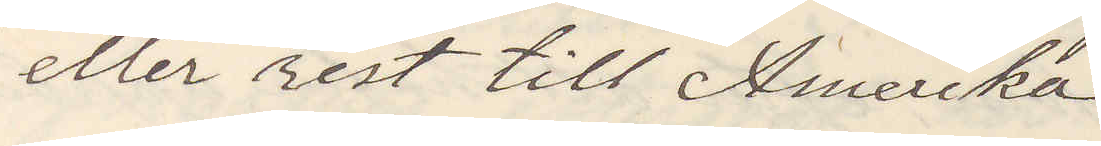eller rest till Amerika
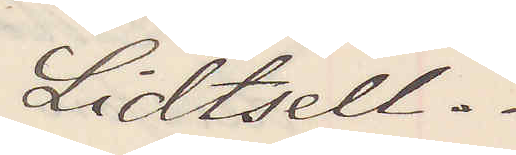Lidtsell.
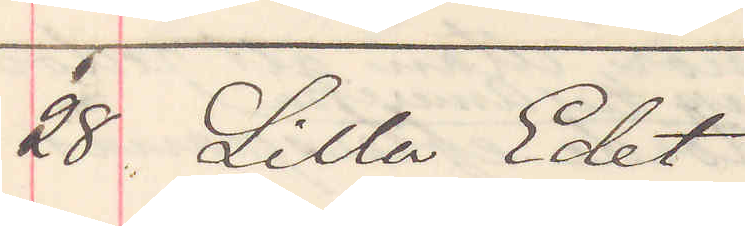28 Lilla Edet
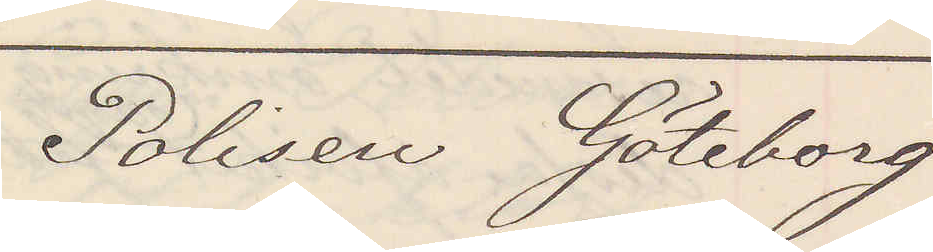Polisen Göteborg
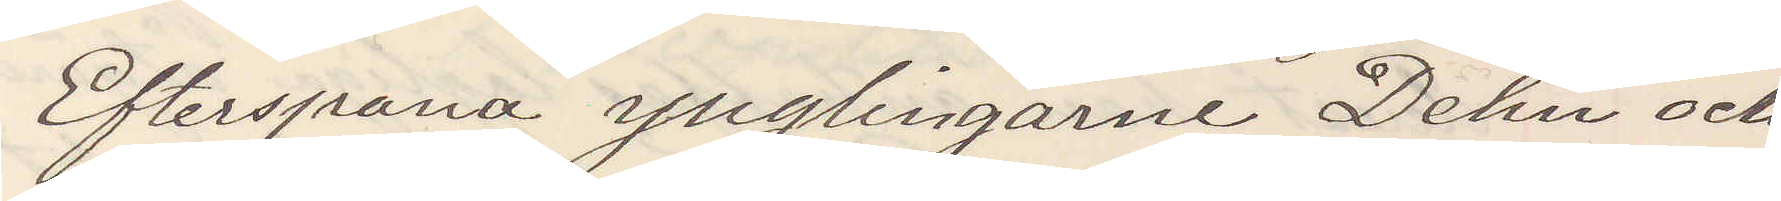Efterspana ynglingarne Dehn och
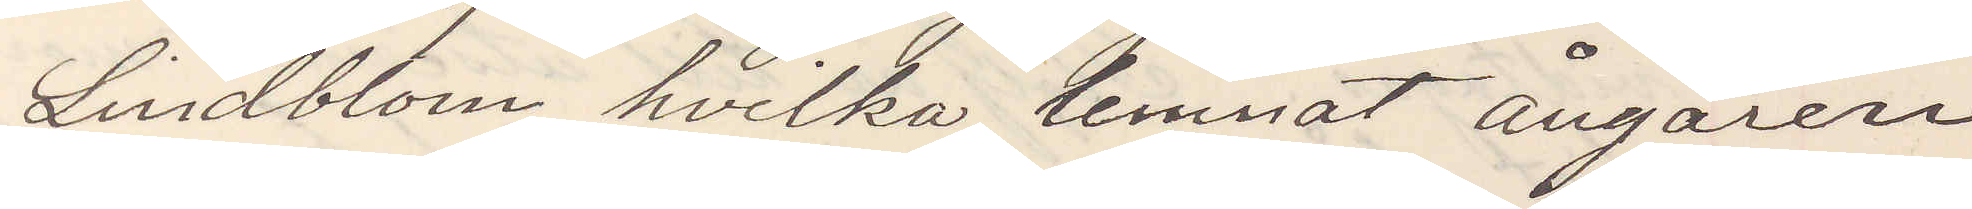Lindblom hvilka lemnat ångaren
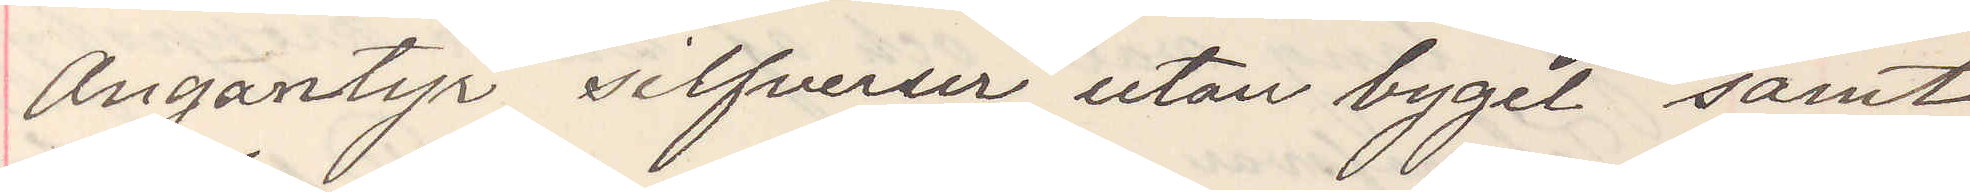Angantyr silfverur utan bygel samt
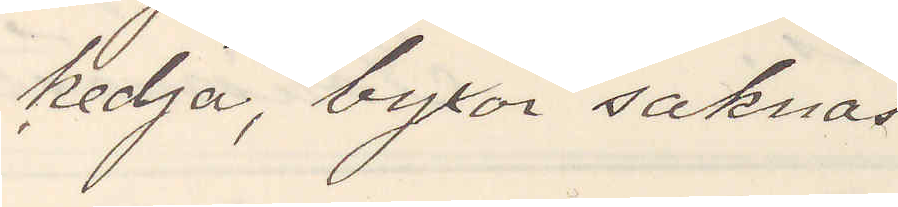kedja, byxor saknas
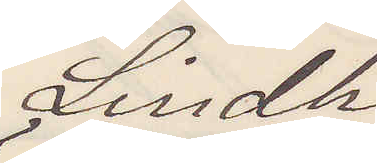Lindh
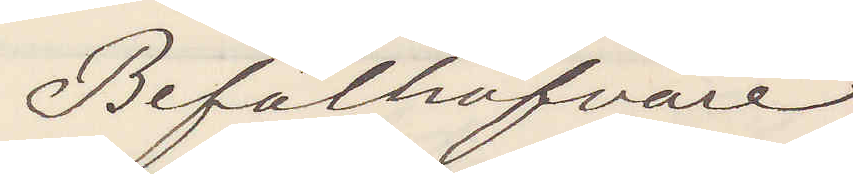Befälhafvare
